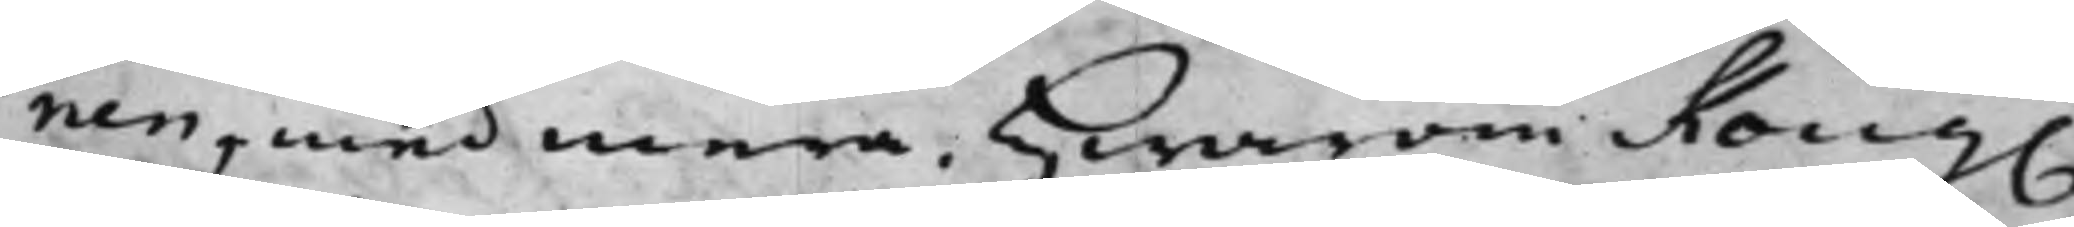nen, med mera, Hwarom Kong.
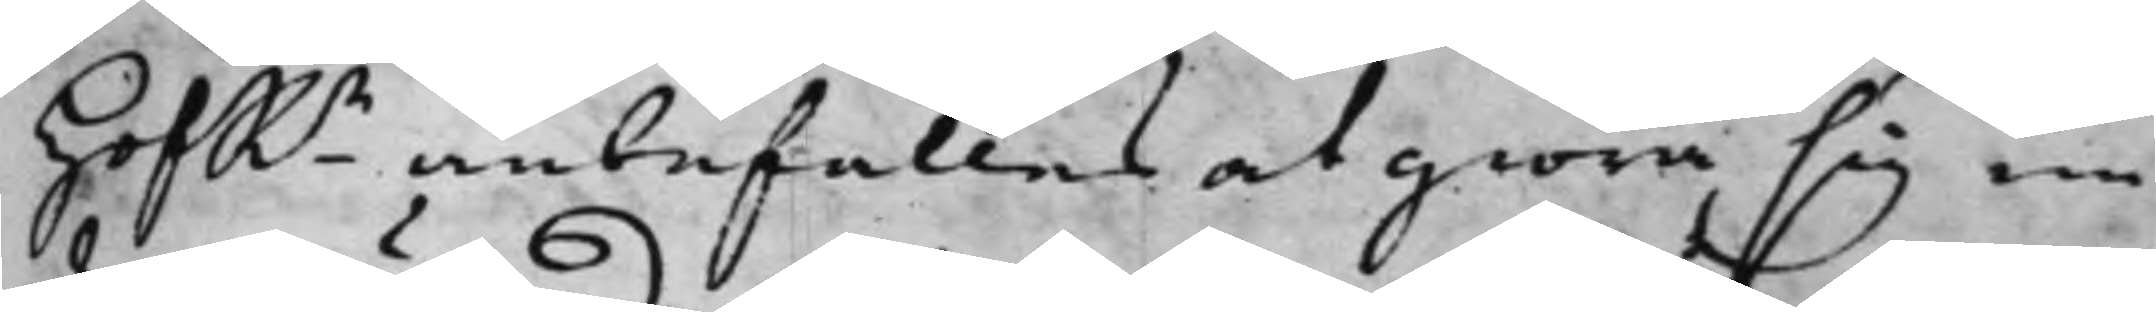HofRn anbefallas at giöra sig un¬
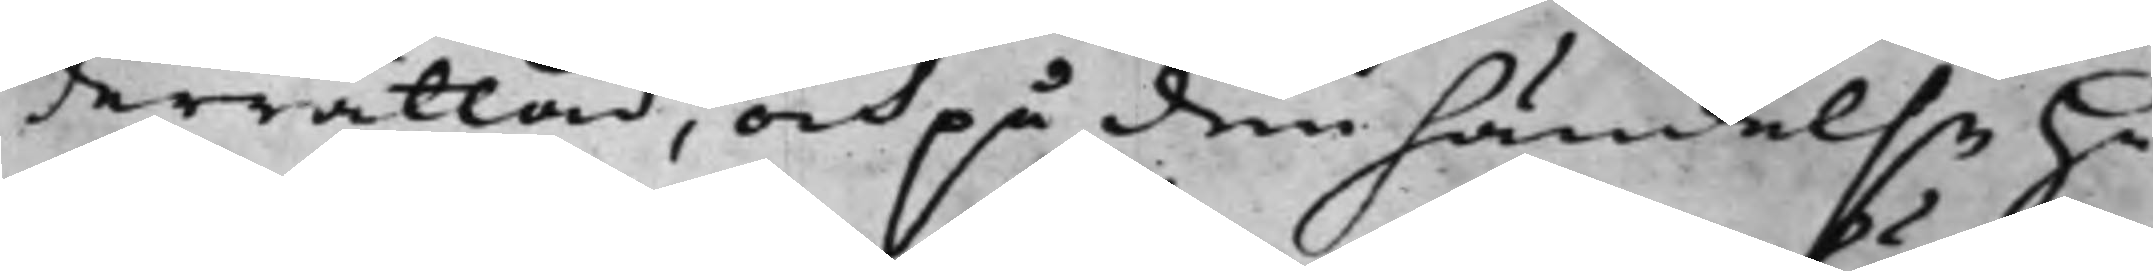derrättad, och på den händelse Hä¬
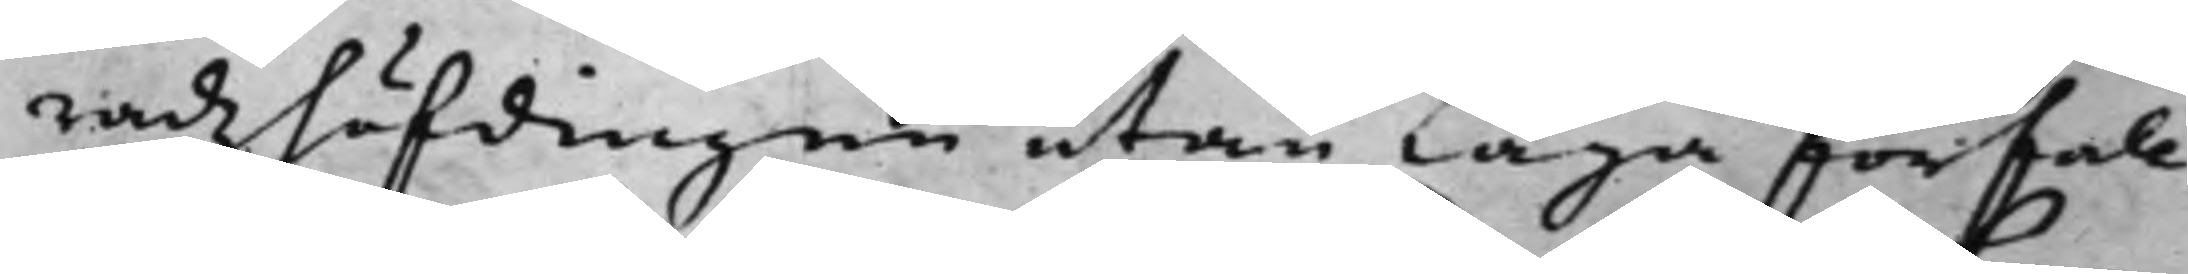radzhöfdingen utan Laga förfall
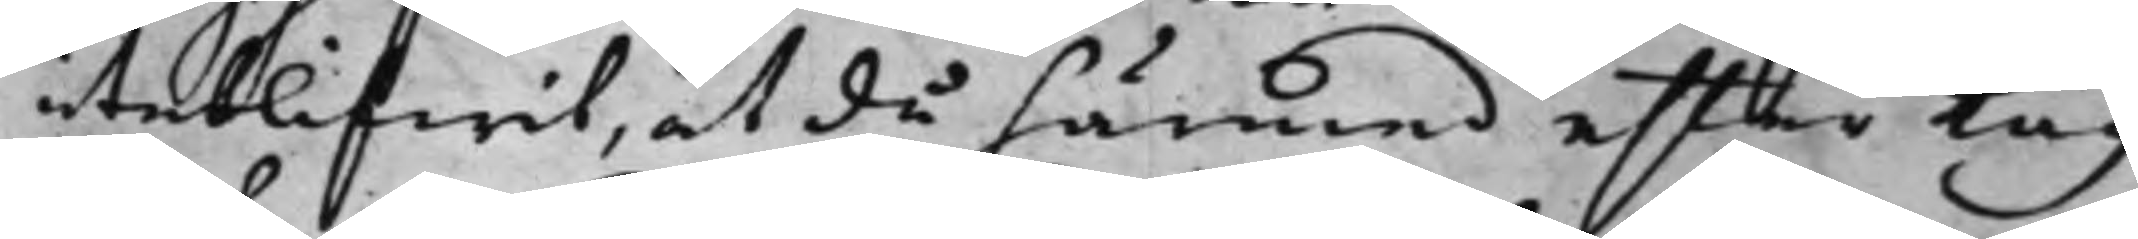uteblifwit, at då härmed efter Lag
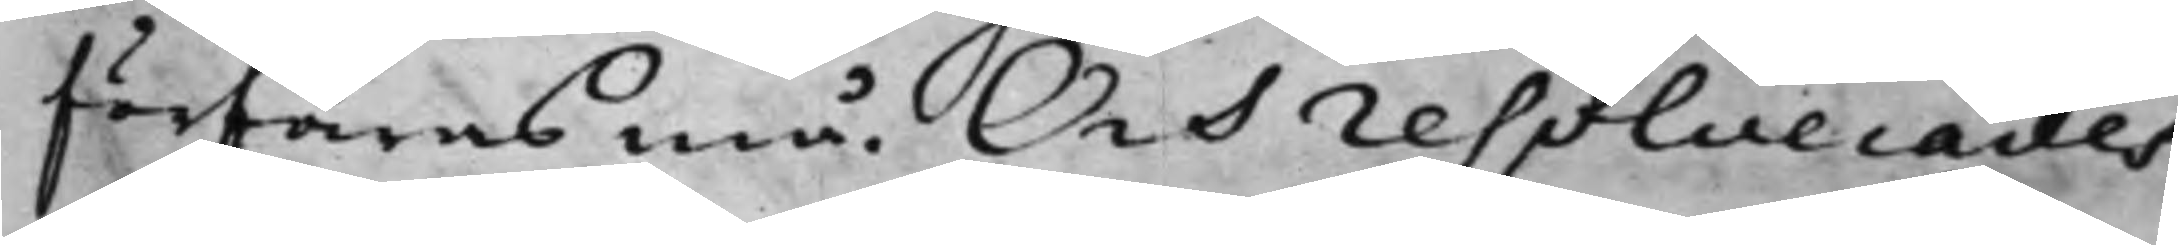förfaras må. Och resolverades
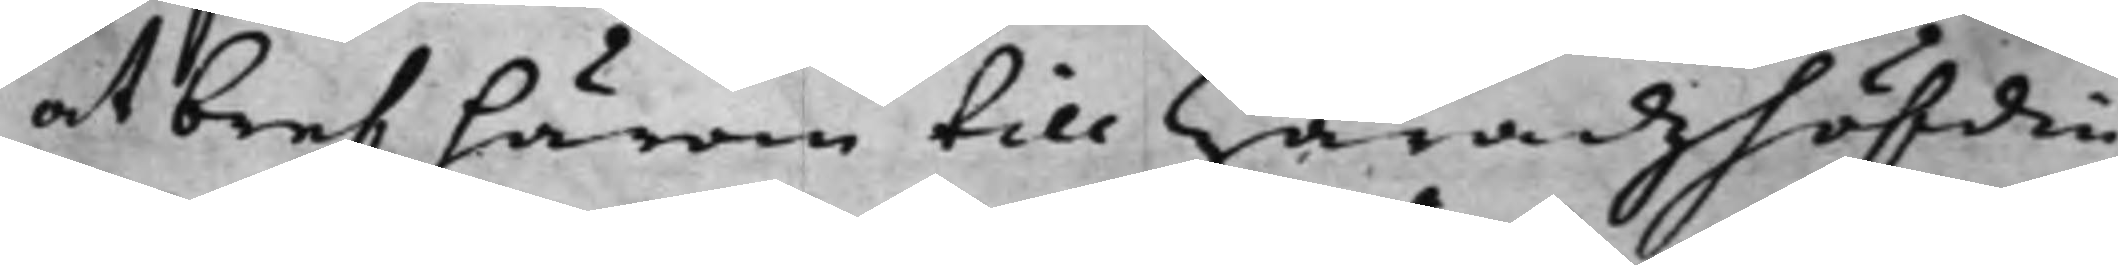at bref härom till Häradzhöfdin¬
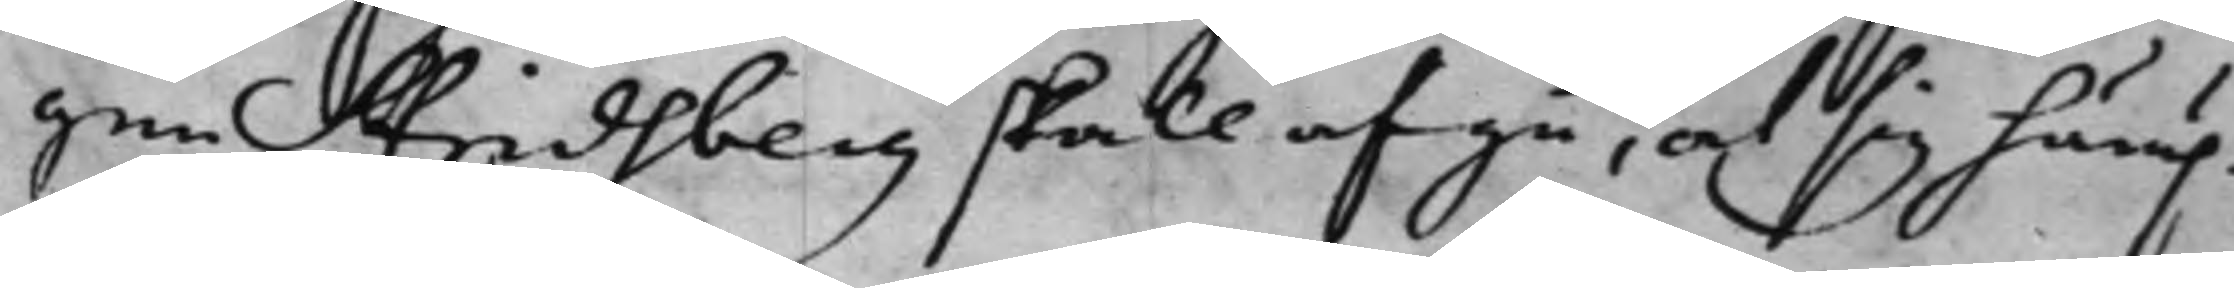gen Stridsberg skall afgå, at sig härup¬
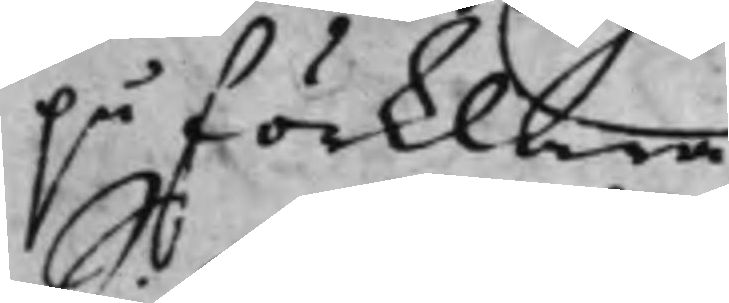på förklara.
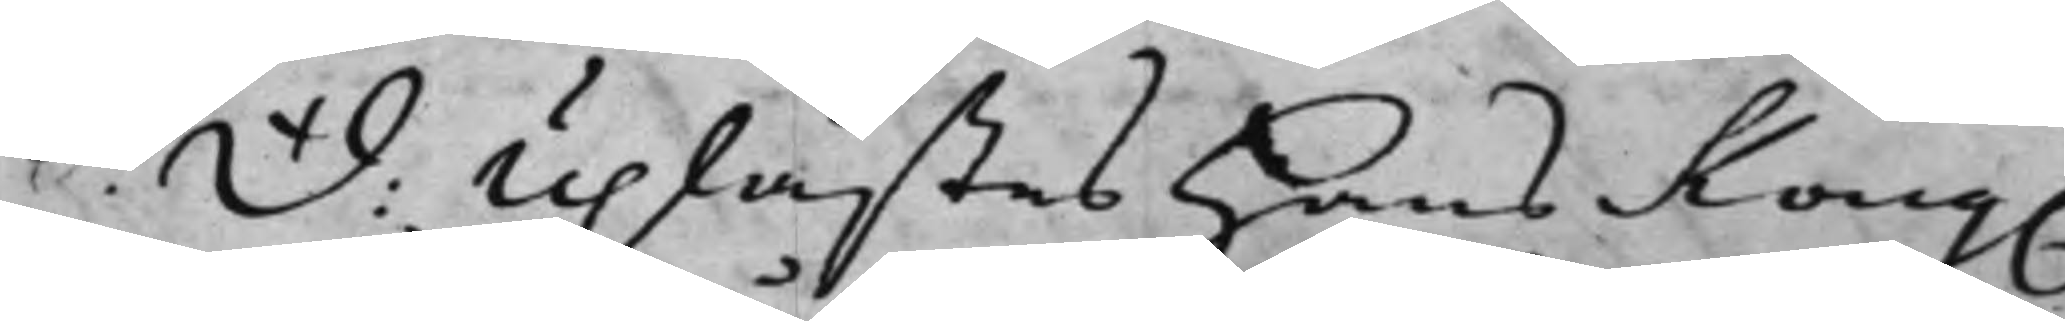S: d: Uplästes Hans Kong.
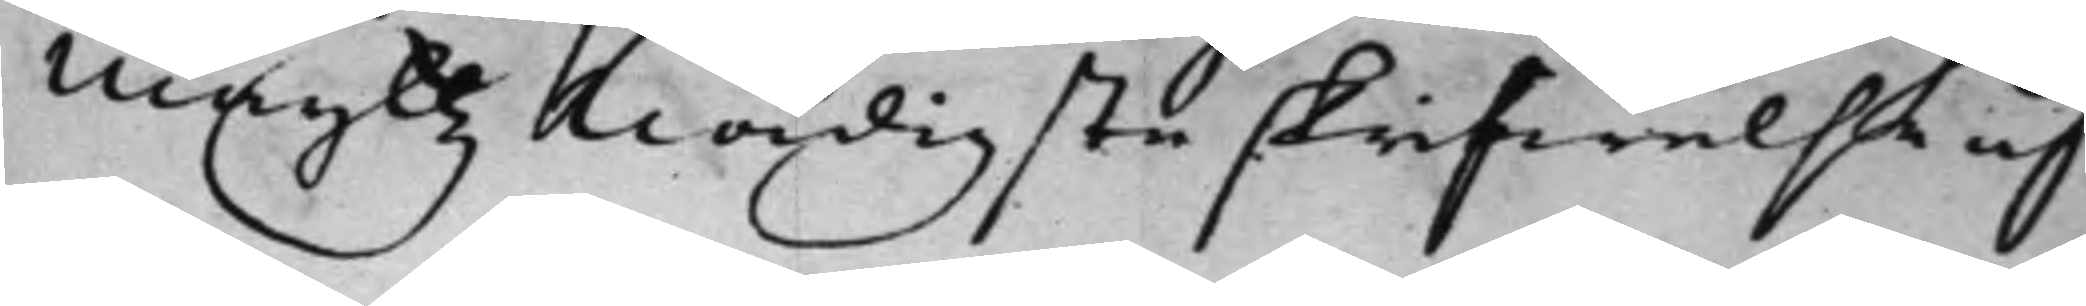Maijttz nådigste skrifwelse af
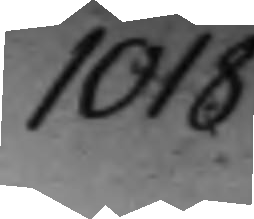1018.
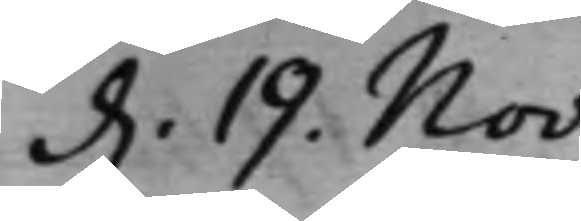d. 19. Nov:
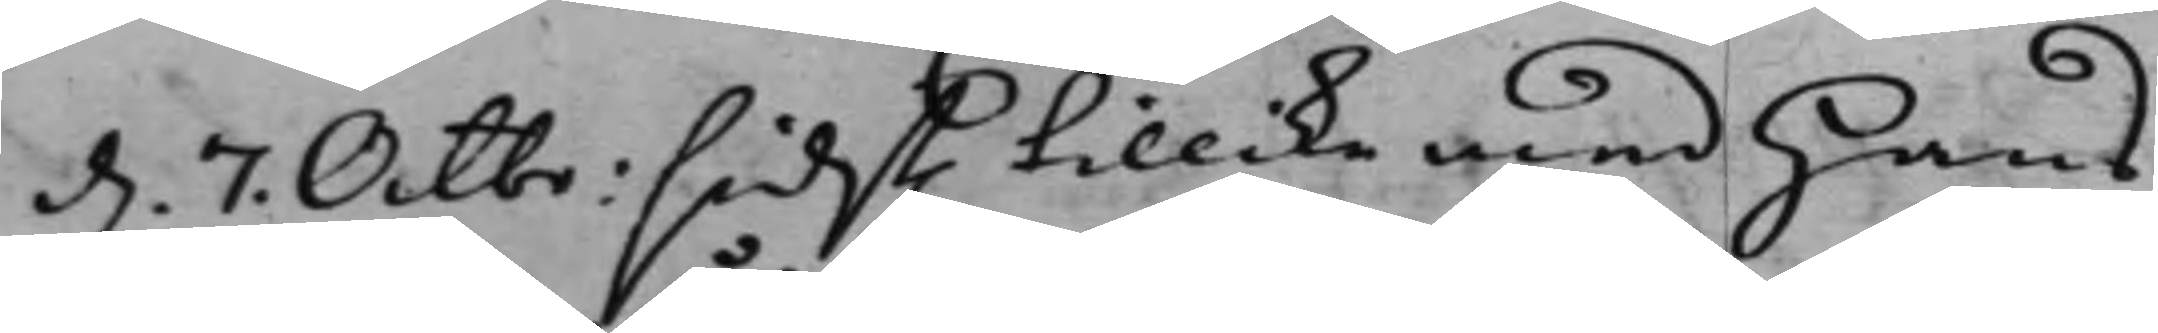d. 7. Octbr: sidst. tillike med Hans
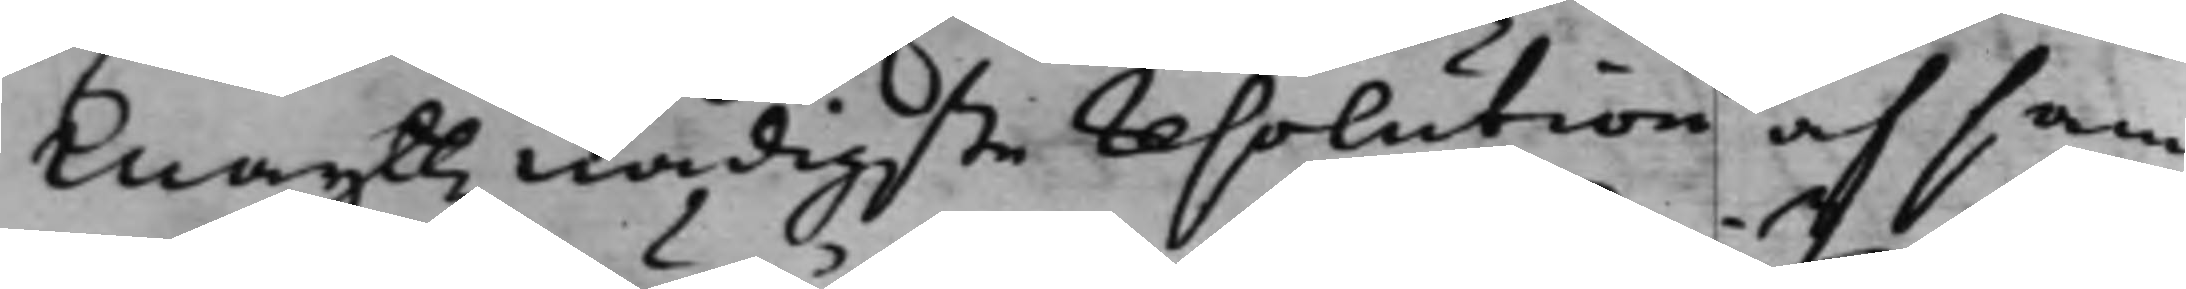Maijttz nådigste resolution af sam¬
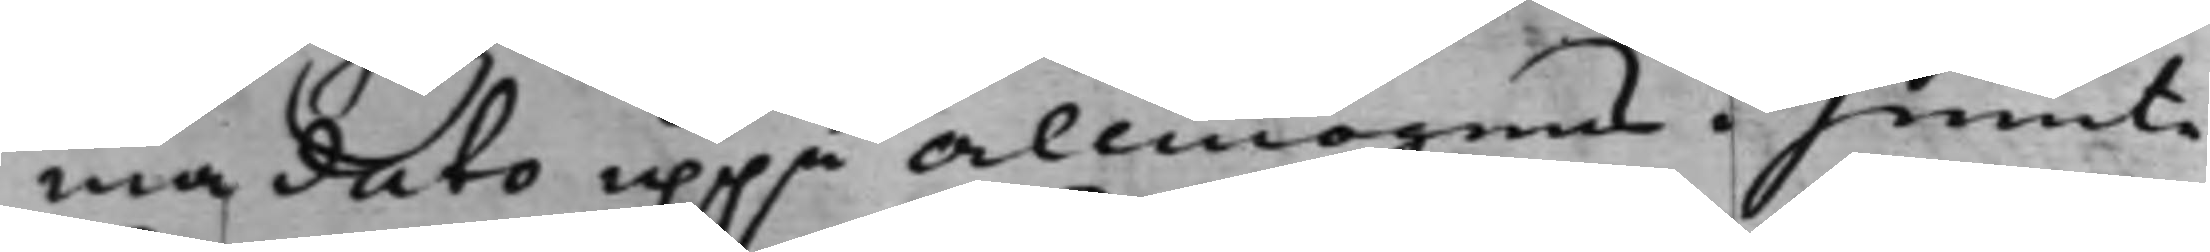ma dato uppå allmogens i Jemte¬
